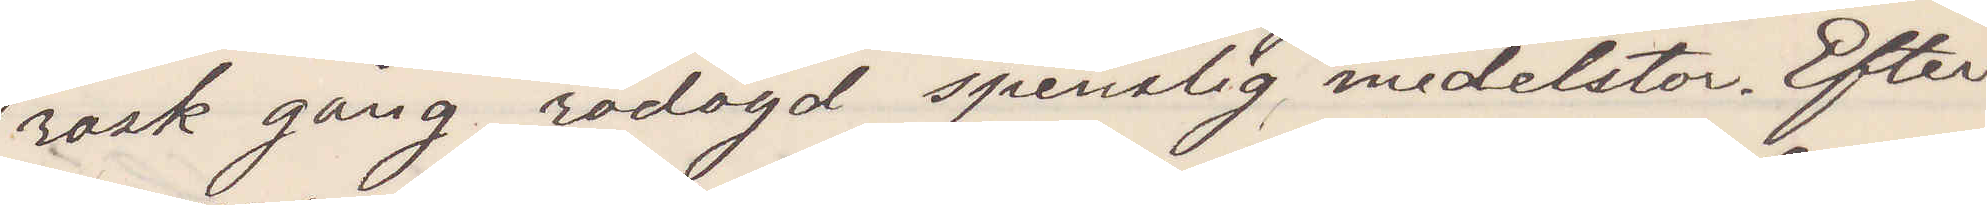rask gång, rödögd spenslig medelstor. Efter¬
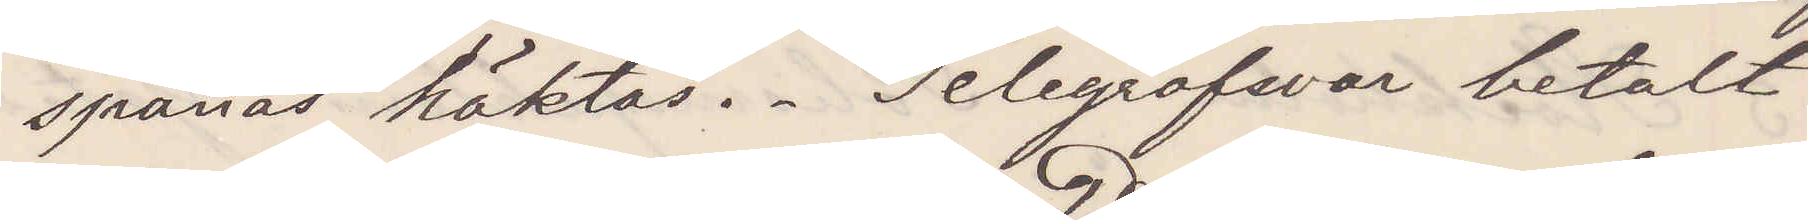spanas häktas. Telegrafsvar betalt
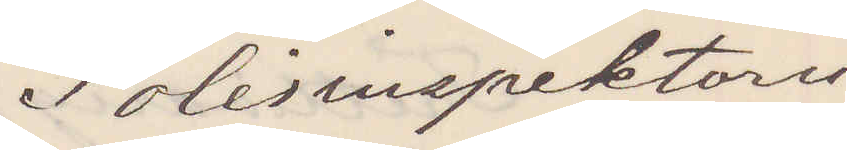Polisinspektorn
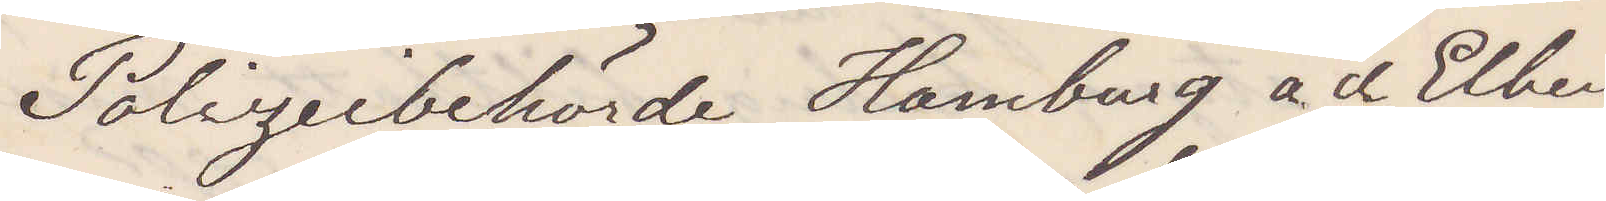Polizeibehörde Hamburg a d Elbe
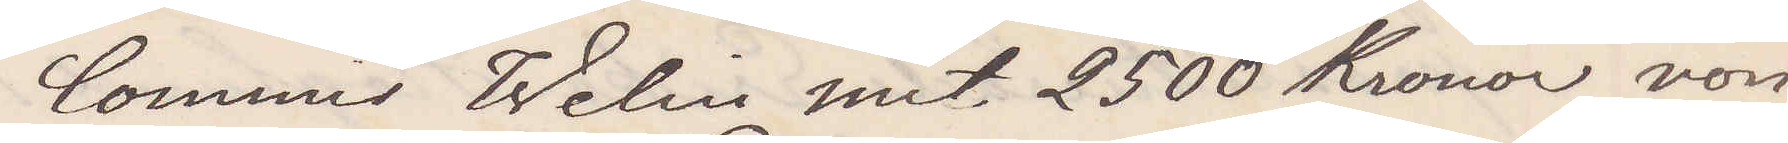Commis Welin mit 2500 Kronor von
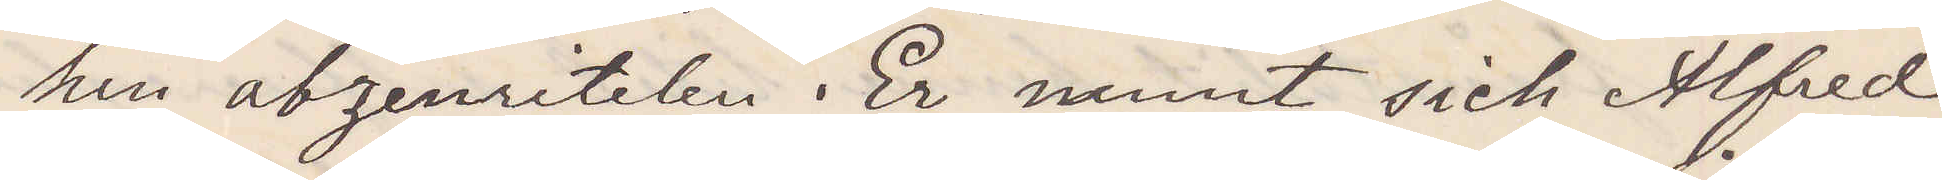hier abzenritelen. Er namnt sich Alfred
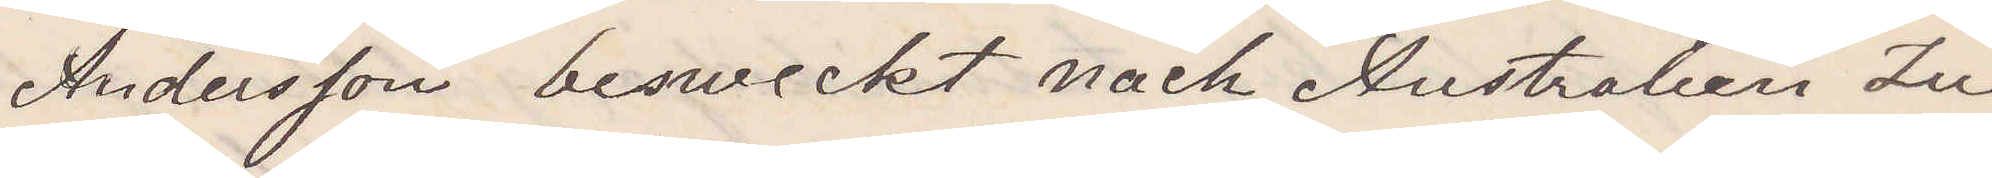Andersson besweckt nach Australien Zu¬
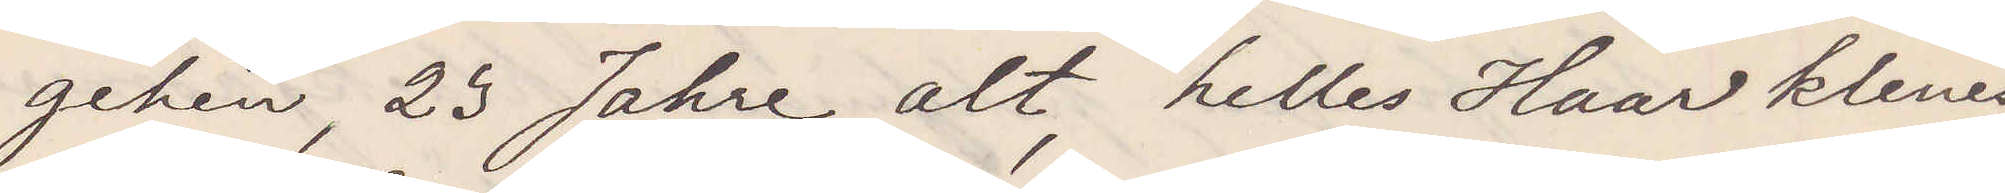gehen, 23 Jahre alt, helles Haar klenes
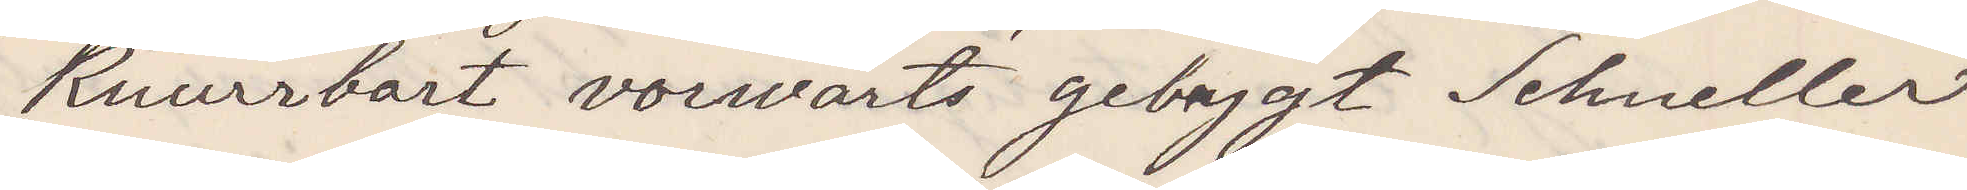Ruurrbart vorwärts gebygt Schneller
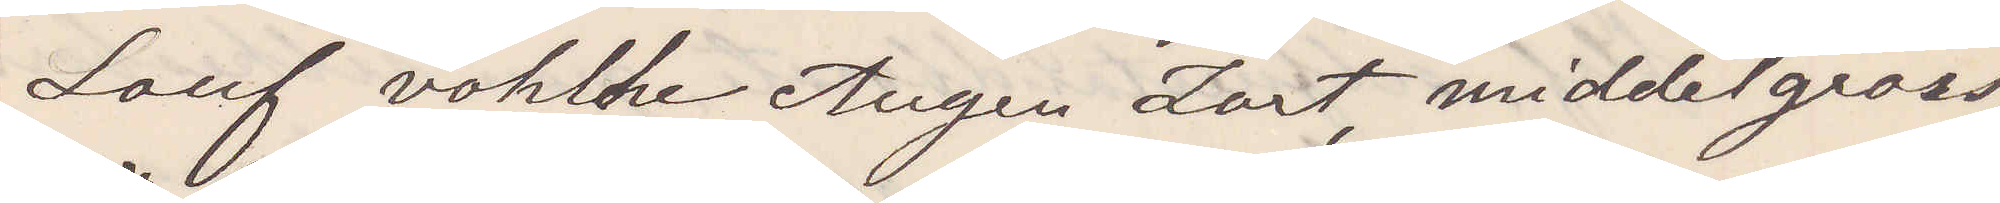Lauf vohlche Augen Zort, middelgross,
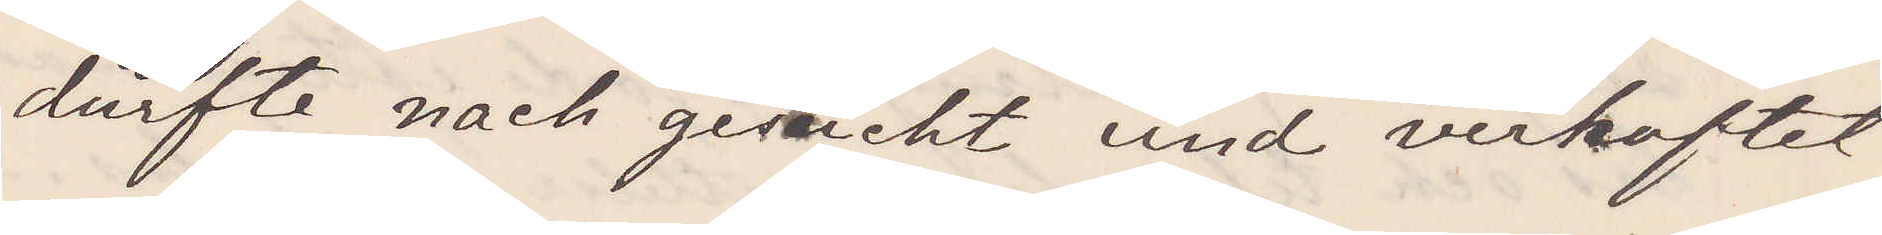dürfte nach gesucht und verhaftet
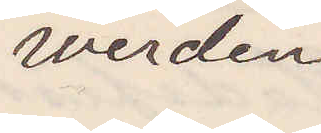werden
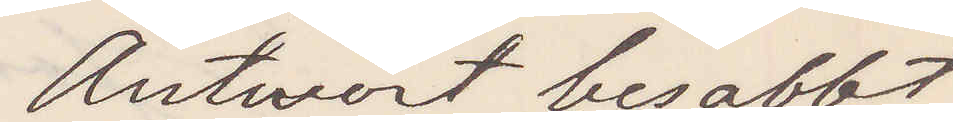Antwort besabbt
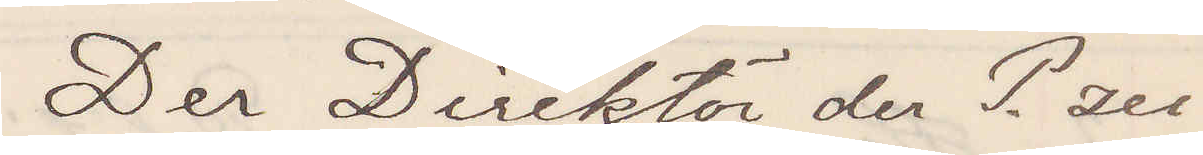Der Direktör der P. zei
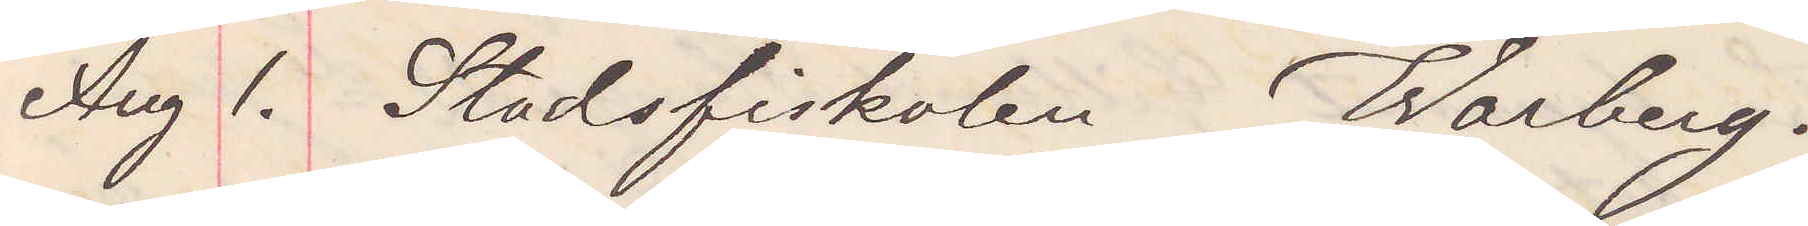Aug 1. Stadsfiskalen Warberg.
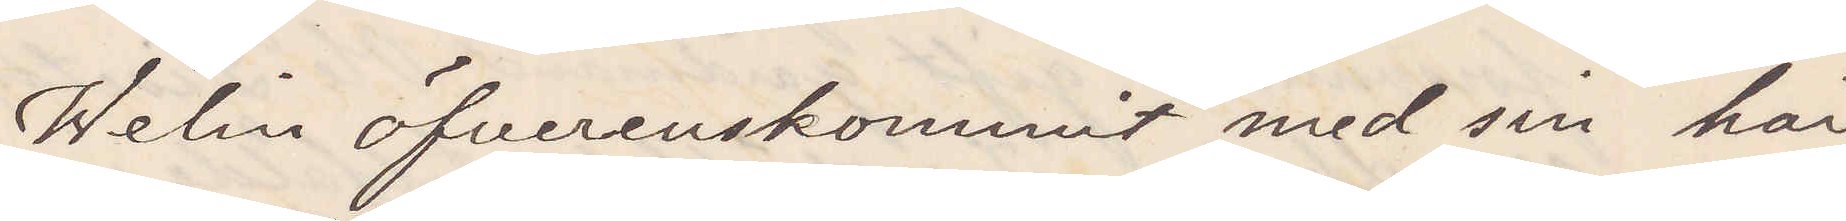Welin öfverenskommit med sin här
